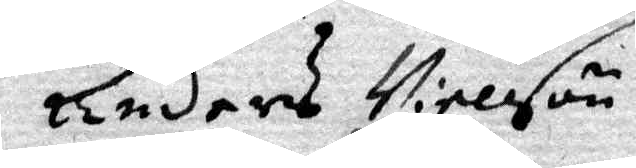Anders Nielson
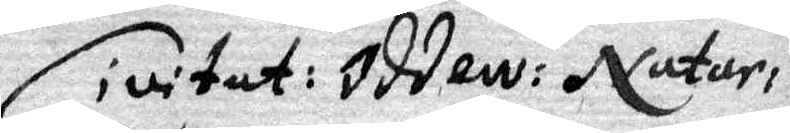Civitat: Oddew: Natur: 
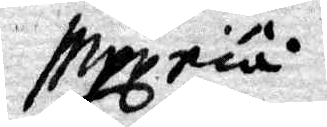Mogriå
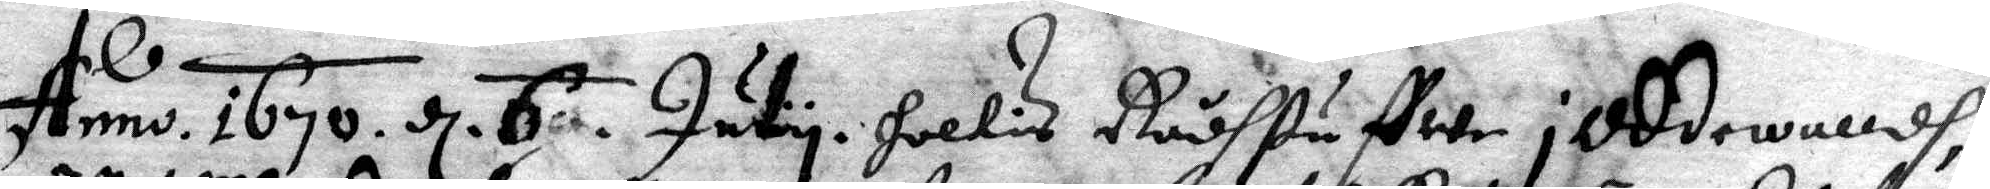Anno 1676. d 67. July i Hollis Rådhstuffwe i Oddewalldh 
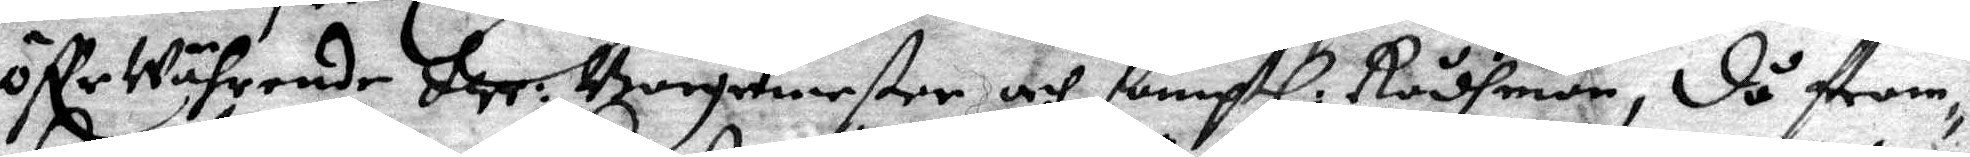öffr währende Her: Borgemester, och samptl. Rådhmän, då fram¬ 
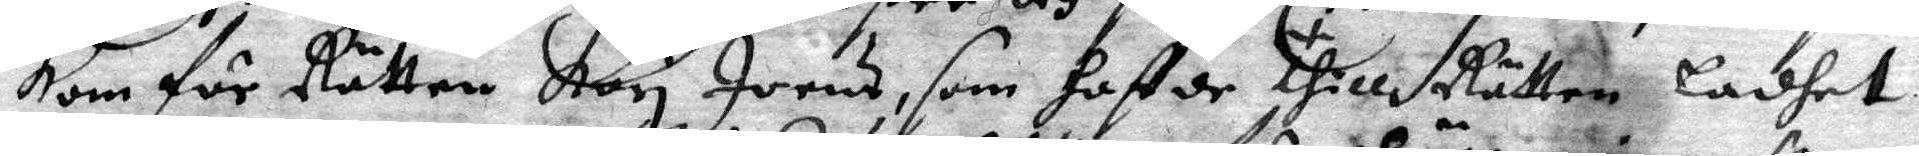kom för Rätten Kari Joens, som haftde thill Rätten Ladhet
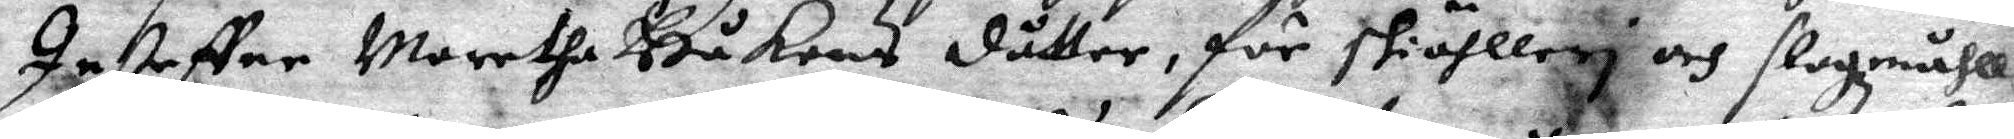Instefler Maretha Håkons dåtter, för skiählleri och slogmåhll
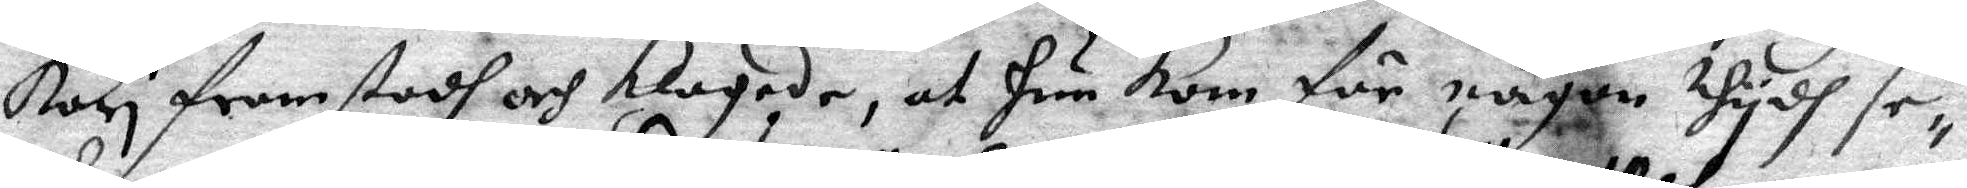Kari framstodh och klagade, at hun kom för någon thydh se¬
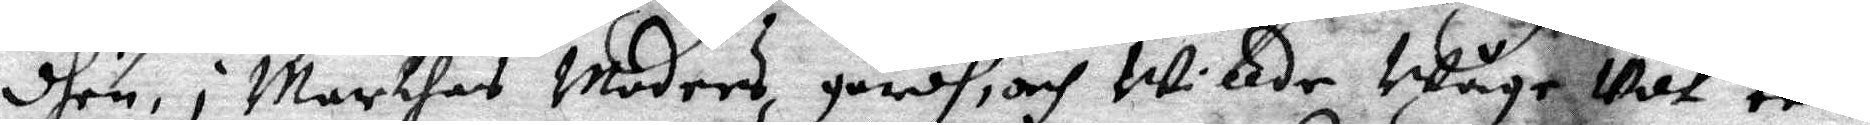dhen, i Marthas Moders gårdh, och Willde Wåge udt een
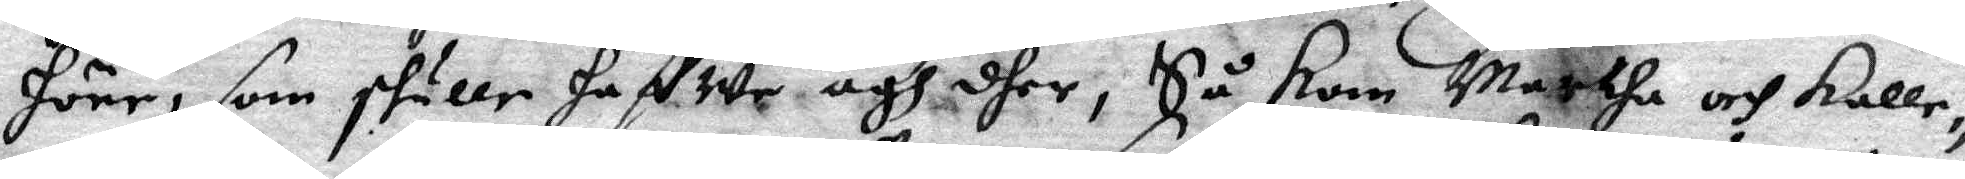höne, som skulle haffwe ägh dher, Så kom Martha och kalle¬
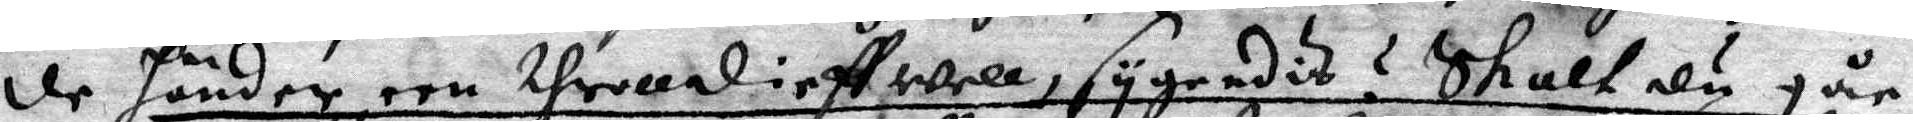de händer nu throlldieffwell, sygendit? Skalt du går
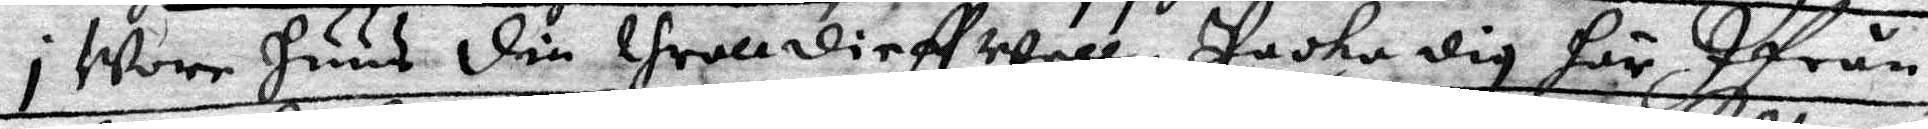I Wore huus din throlldieffwell Pacha dig här Ifrån
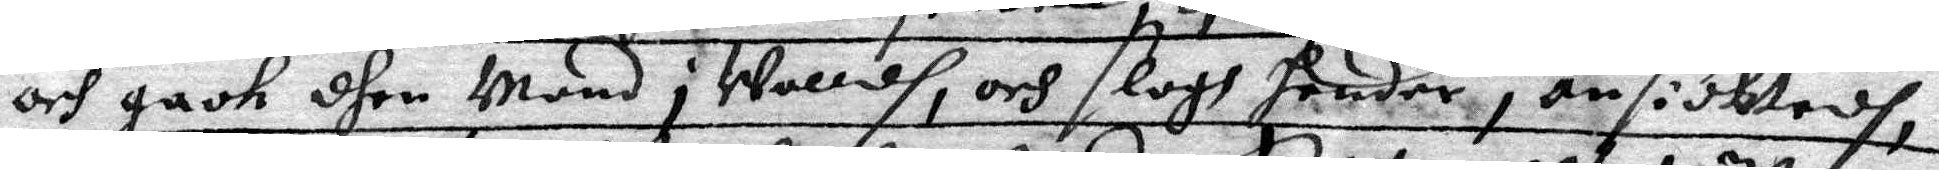och gaok dhen Mand i Walldh, och slogh hender i ansidktedh,
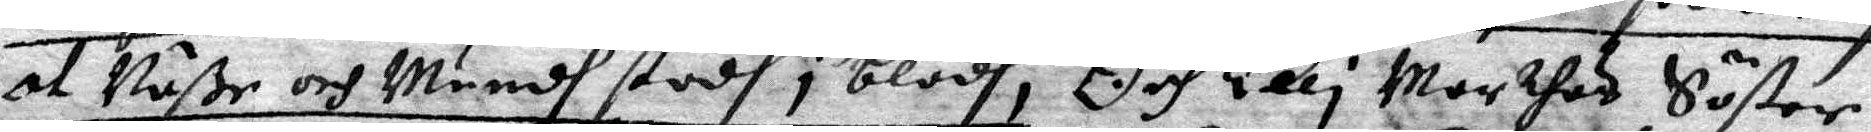at Näße och Mundh stodh i blodh, Och Elli Marthas Söster
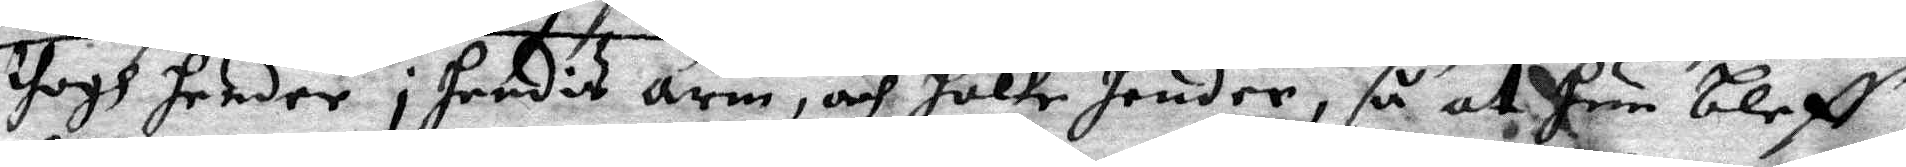thogh hender i hendis arm, och hålte hender, så att hun bleff
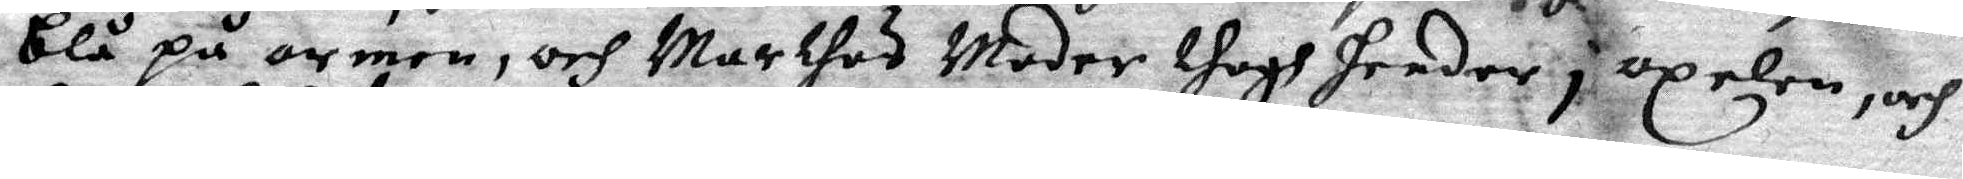blå på armen, och Marhes Moder thogh hender i axelen, och
